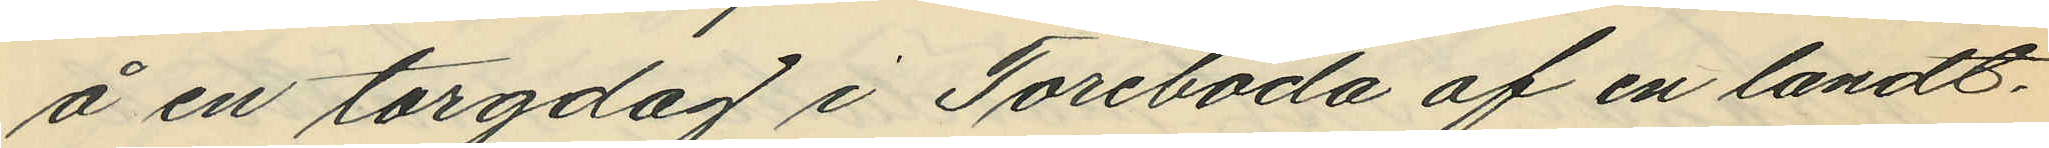å en torgdag i Töreboda af en landt¬
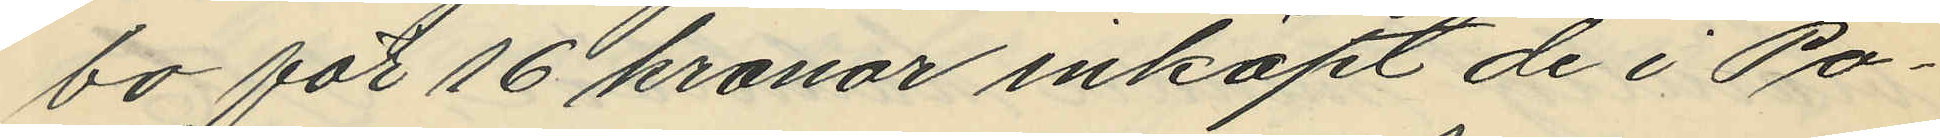bo för 16 kronor inköpt de i Po¬
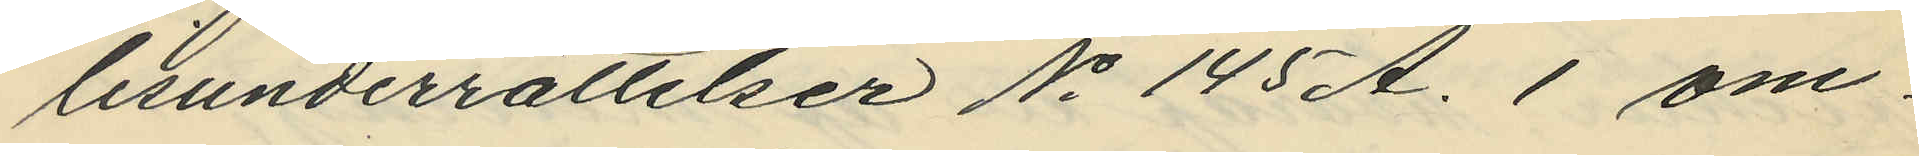lisunderrättelser No 145 A. 1 om¬
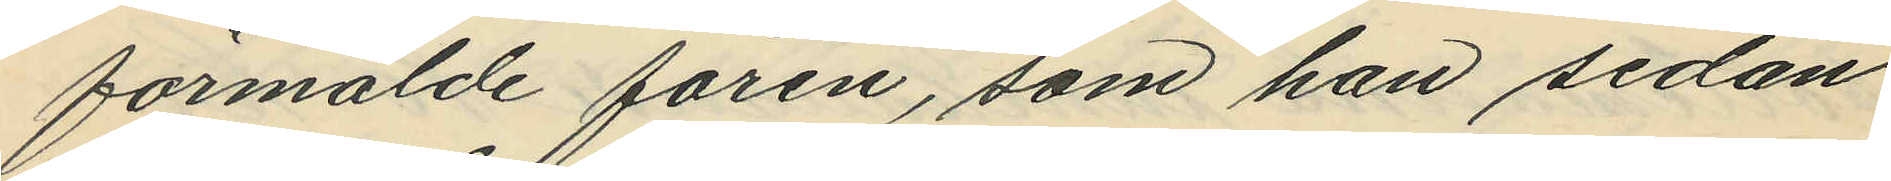förmälde fåren, som han sedan
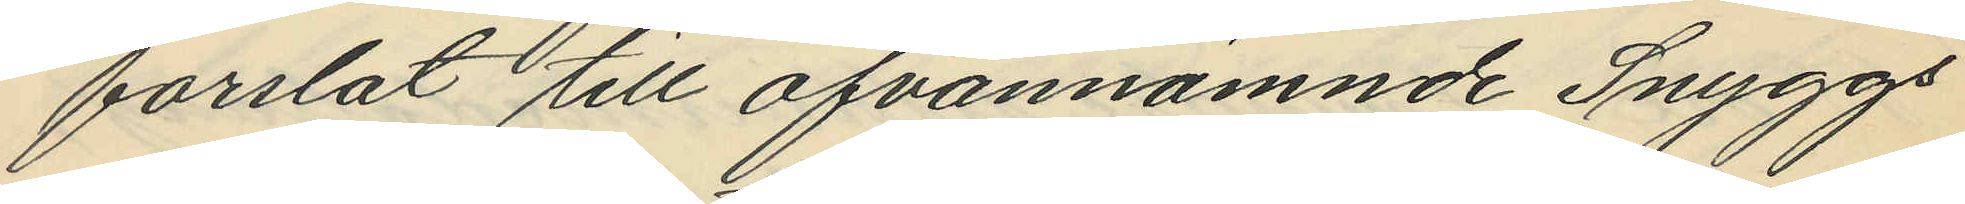forslat till ofvannämnde Snyggs
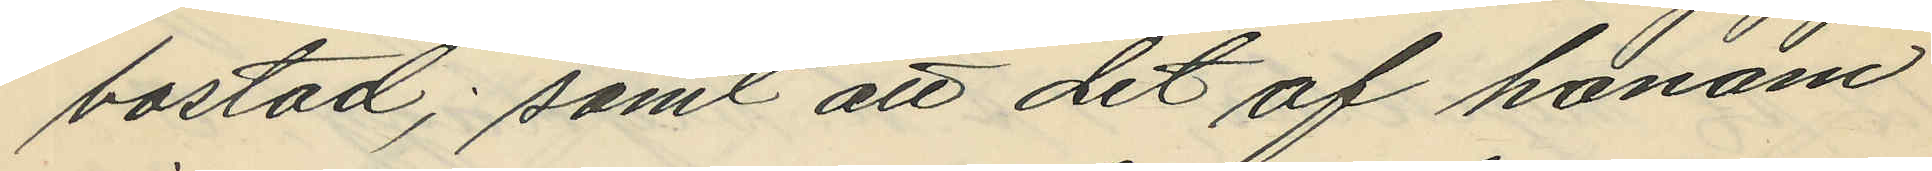bostad; samt att det af honom
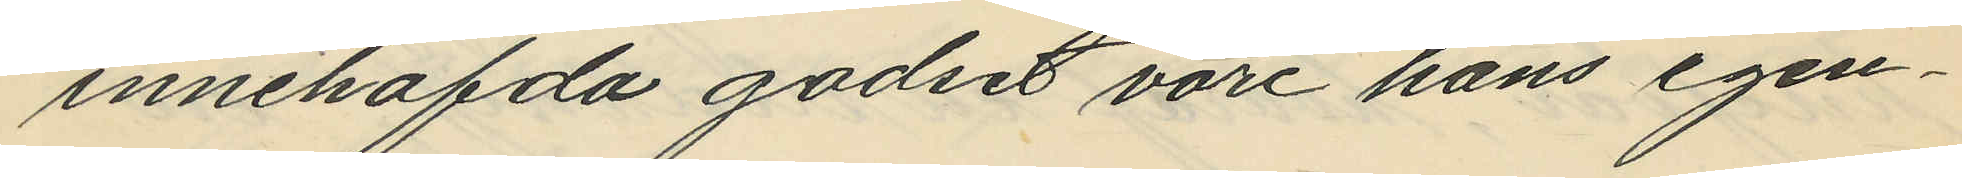innehafda godset vore hans egen¬
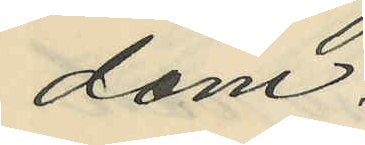dom.
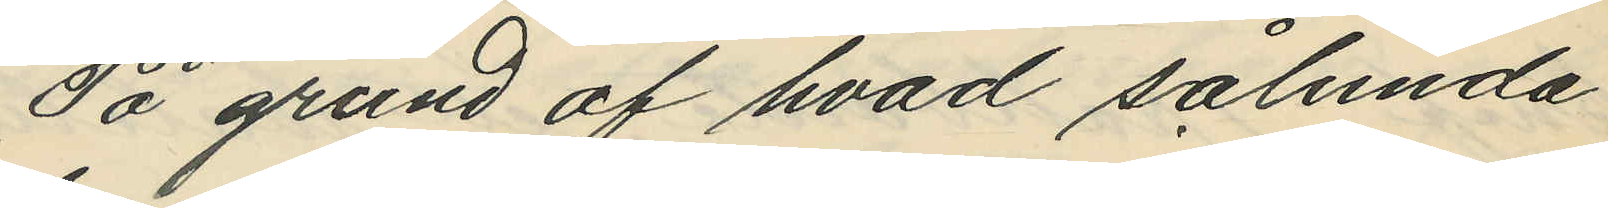På grund af hvad sålunda
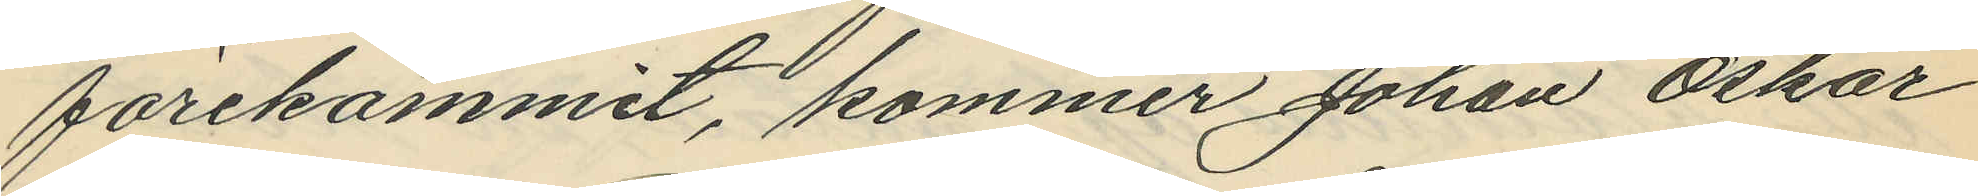förekommit, kommer Johan Oskar
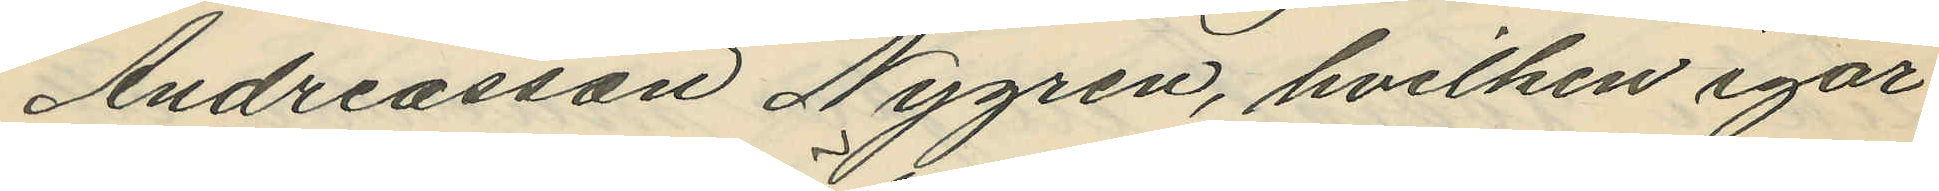Andreasson Nygren, hvilken igår
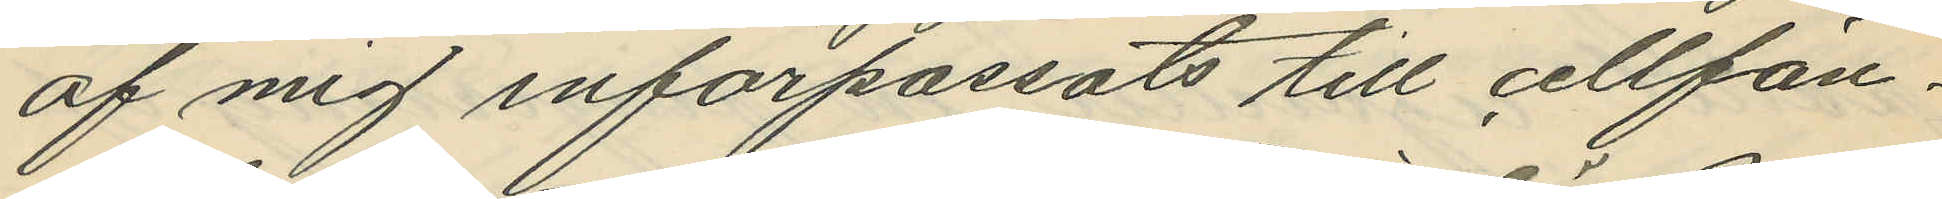af mig införpassats till cellfän¬
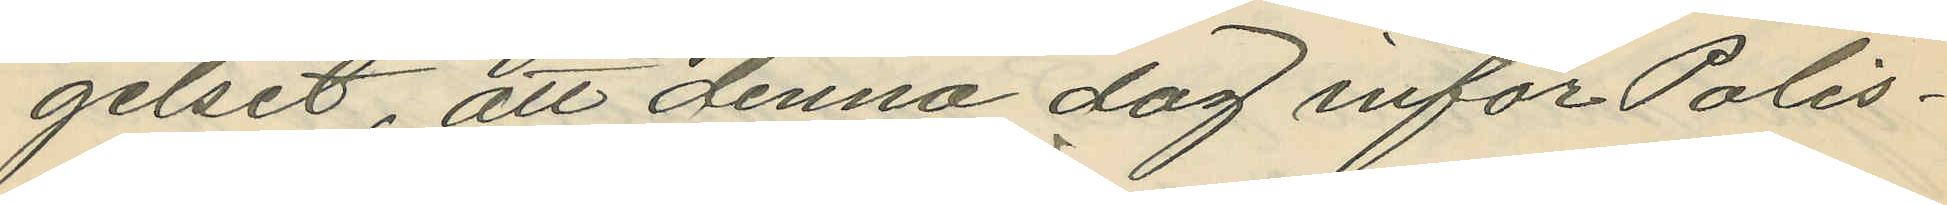gelset, att denna dag inför Polis¬
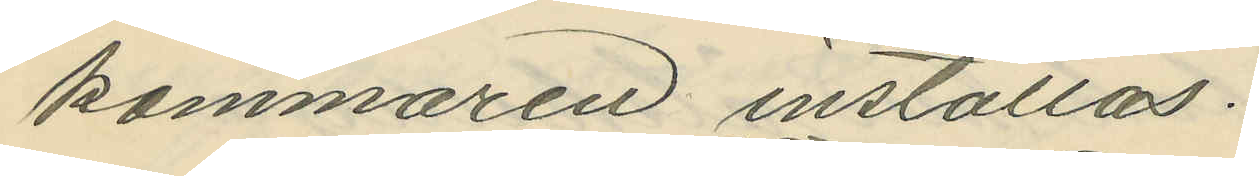kammaren inställas.
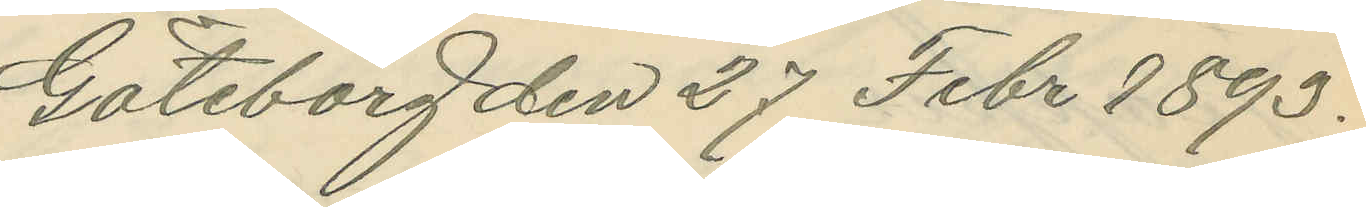Göteborg den 27 Febr 1893.
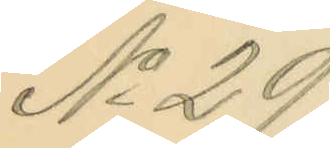No 29.
